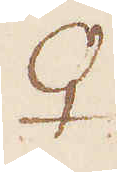♀
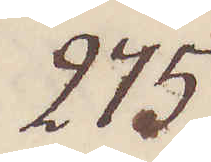275.
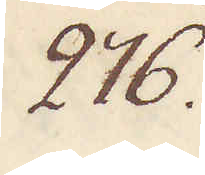276.
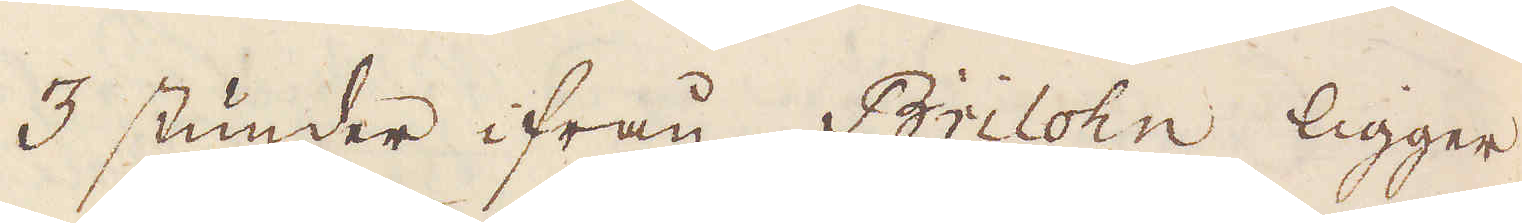3 stunder ifrån Brilohn ligger
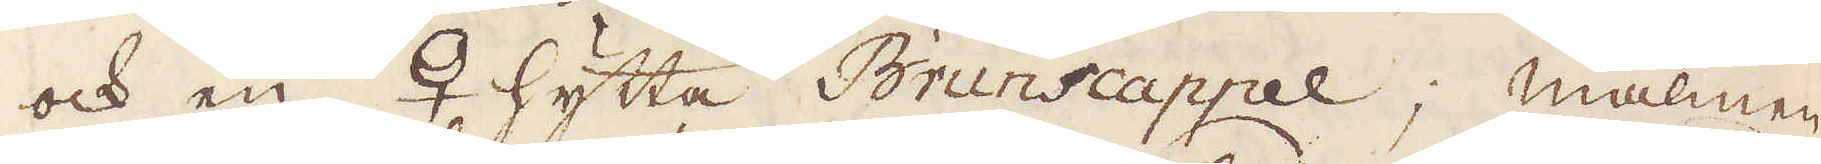och en ♀ hytta Brunscappel; malmen
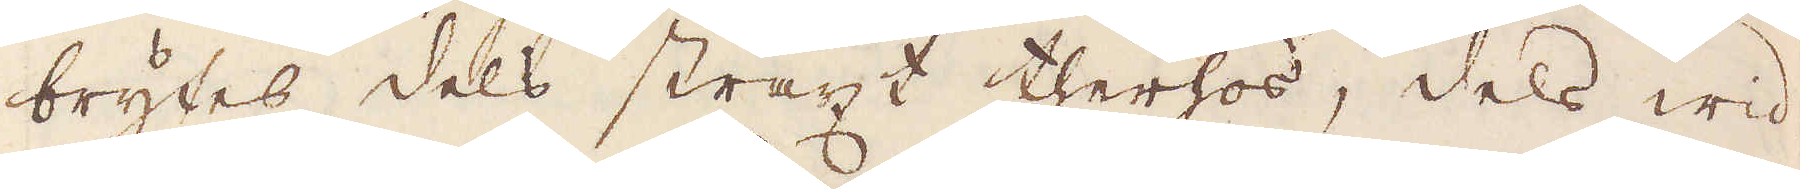brytes dels straxt therhos, dels wid
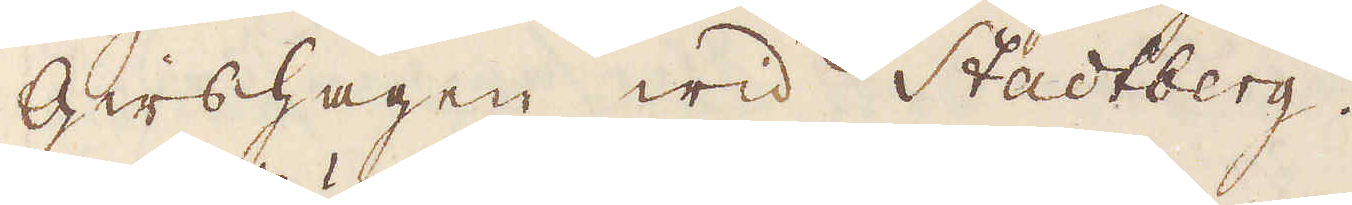Girshagen wid Stadtberg.
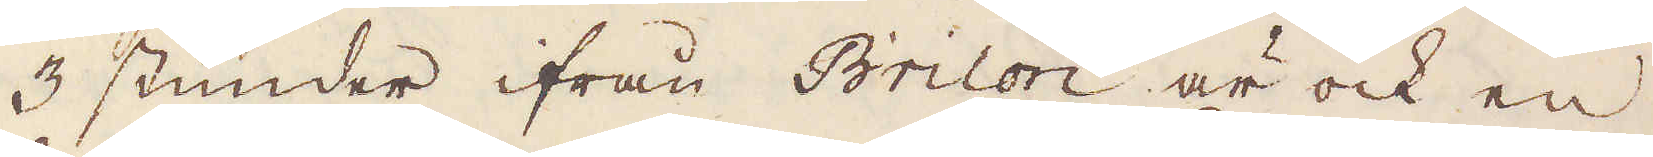3 stunder ifrån Brilon är ock en
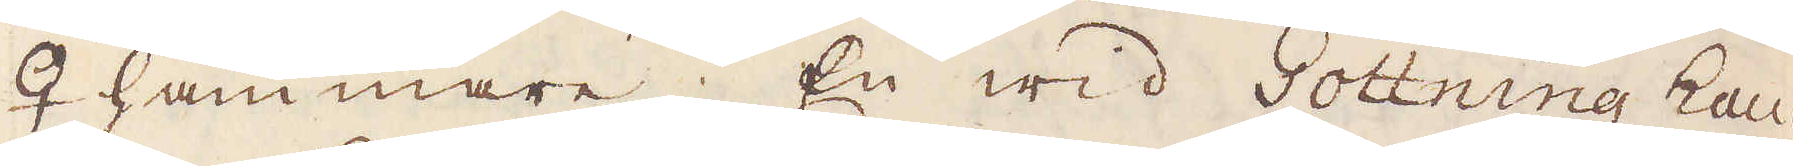♀ hammare; En wid Gottning hau-
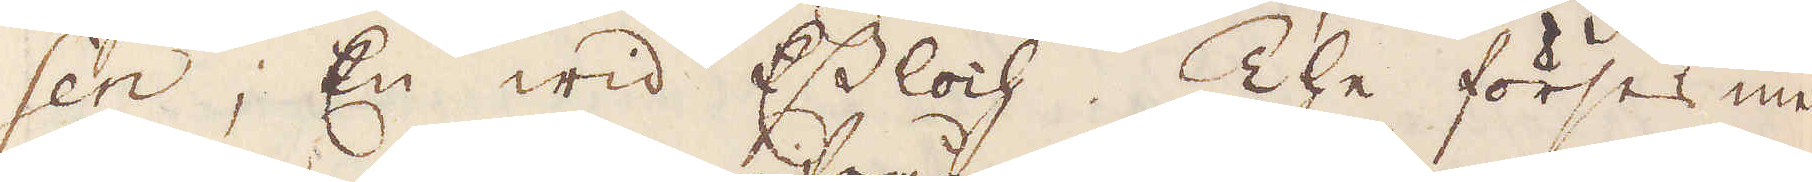sen, En wid Essloch. The förses med
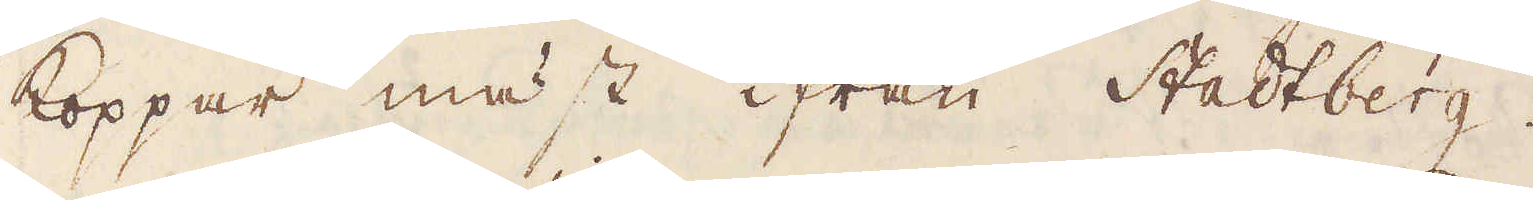koppar mäst ifrån Stadtberg.
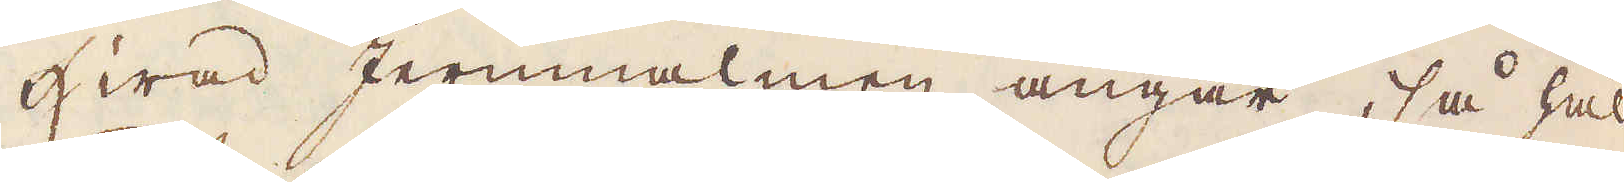Hwad Jernmalmen angår, så hål-
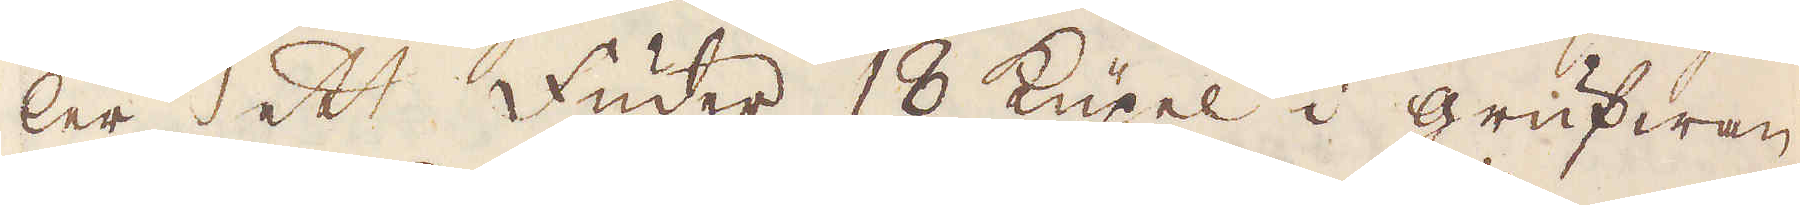ler ett fuder 18 Küpel i grufwan,
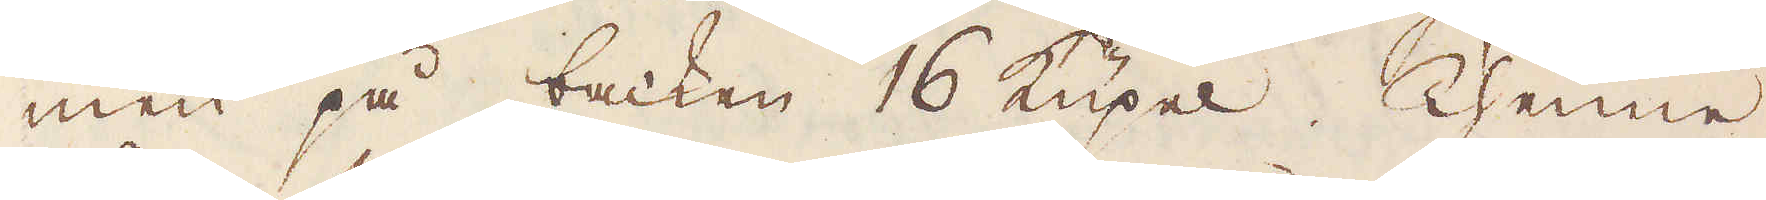men på backen 16 küpel. Thenne
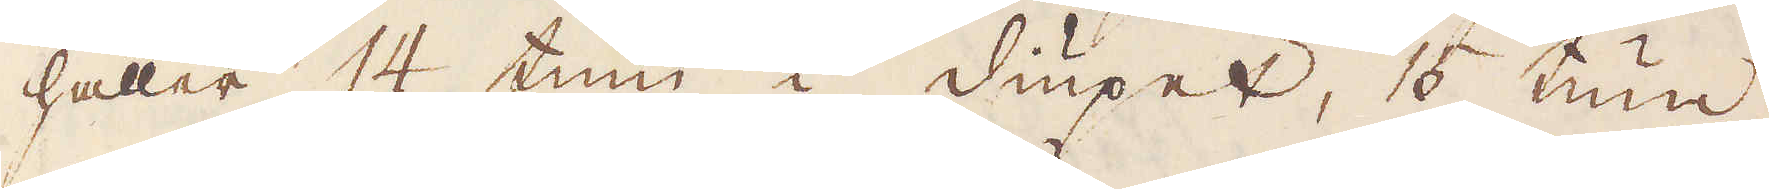håller 14 tum i diupet, 15 tum
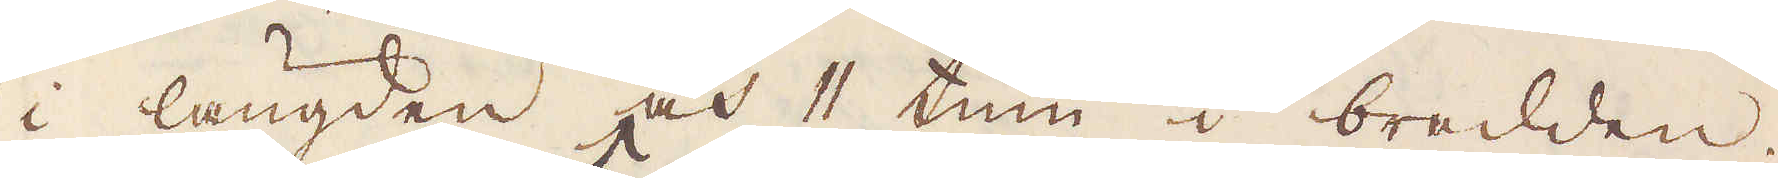i längden och 11 tum i bredden.
